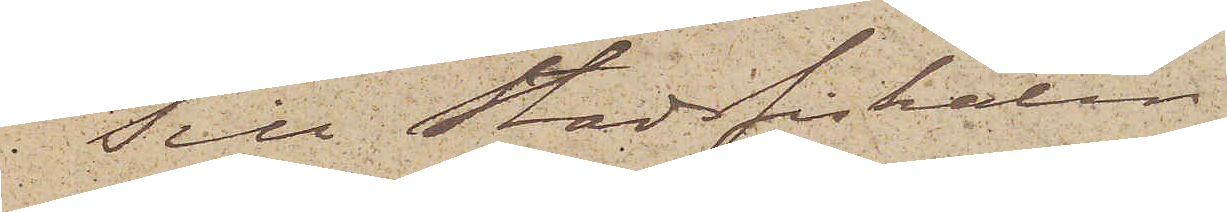Till Stadsfiskalen i
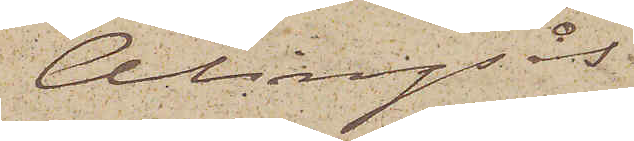Alingsås.
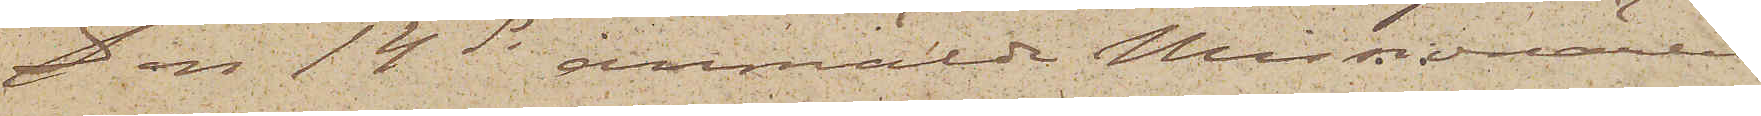Den 14 ds anmälde Missionären
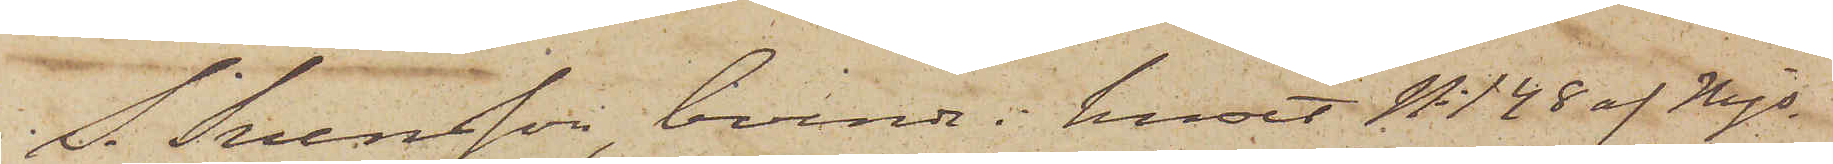S. Svensson, boende i huset No 128 af Mjs
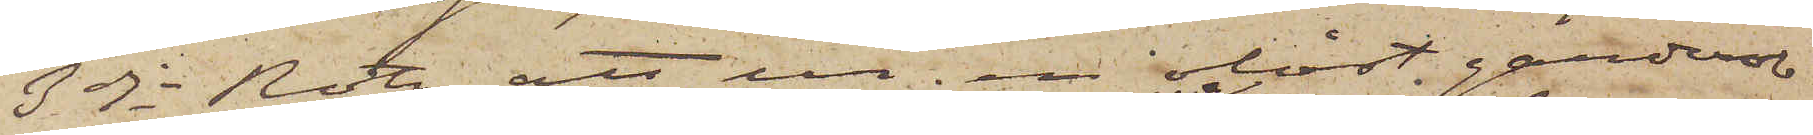3dje Rote, att ur en olåst garderob
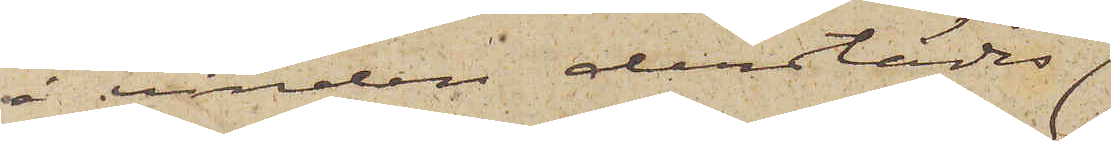å vinden derstädes;
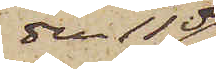den 11 ds
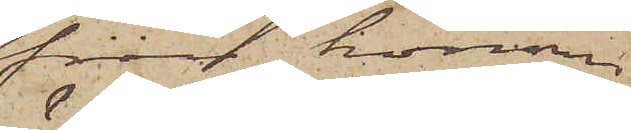från honom
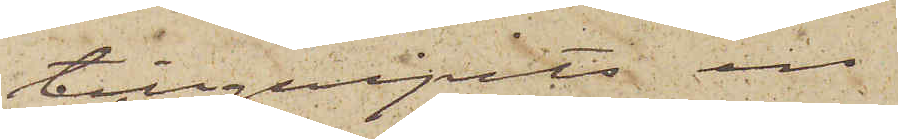tillgripits en
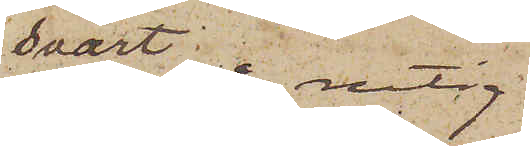svart rutig
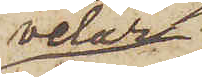velur
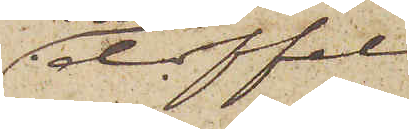doffel
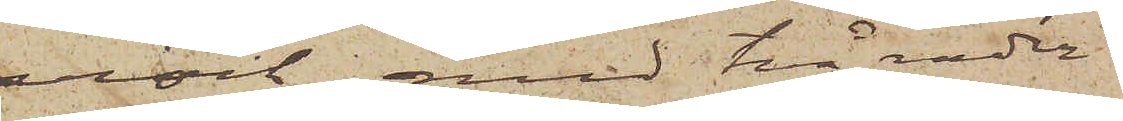rock med två rader
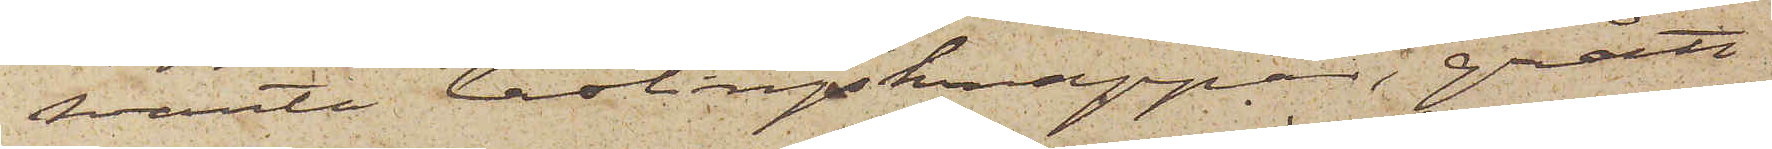svarta lastingsknappar, grått
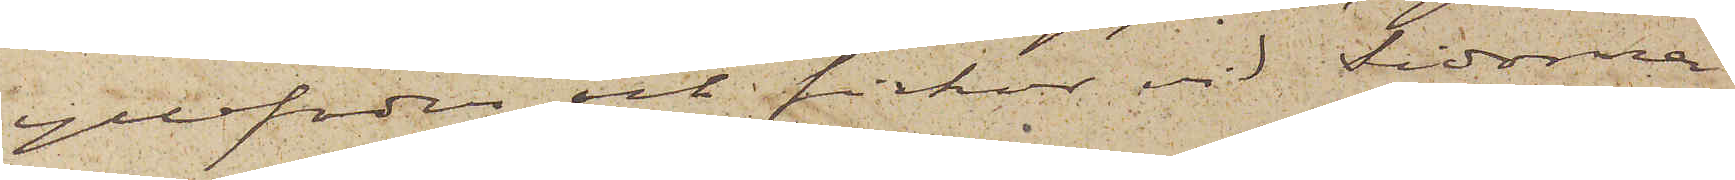yllefoder och fickor vid Sidorna
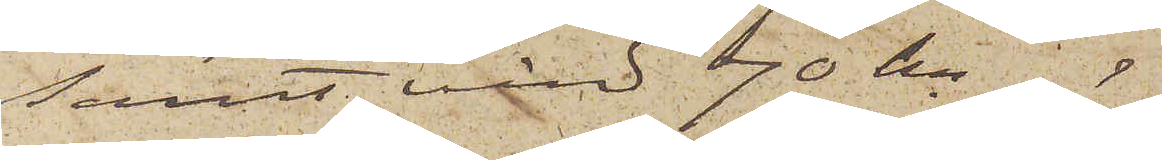samt värd 70 kr
